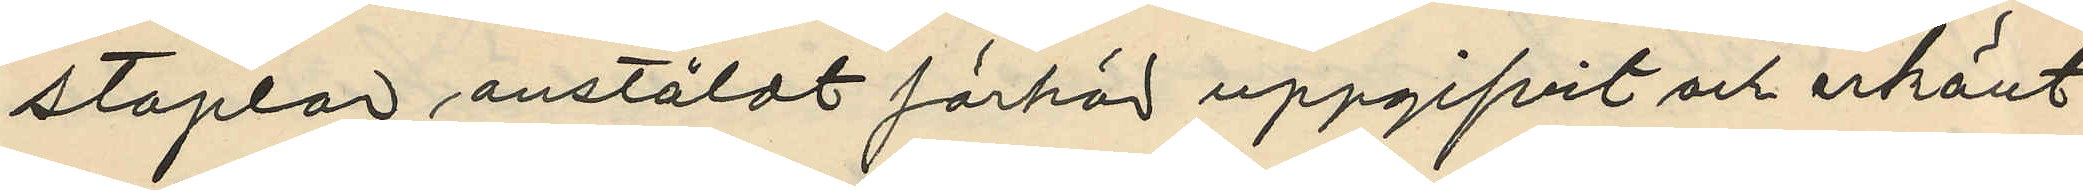staplar anstäldt förhör uppgifvit och erkänt:
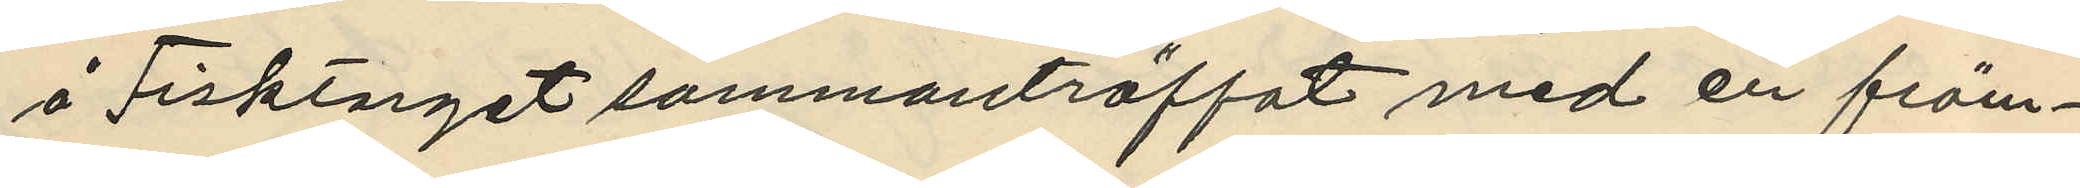å Fisktorget sammanträffat med en främ¬
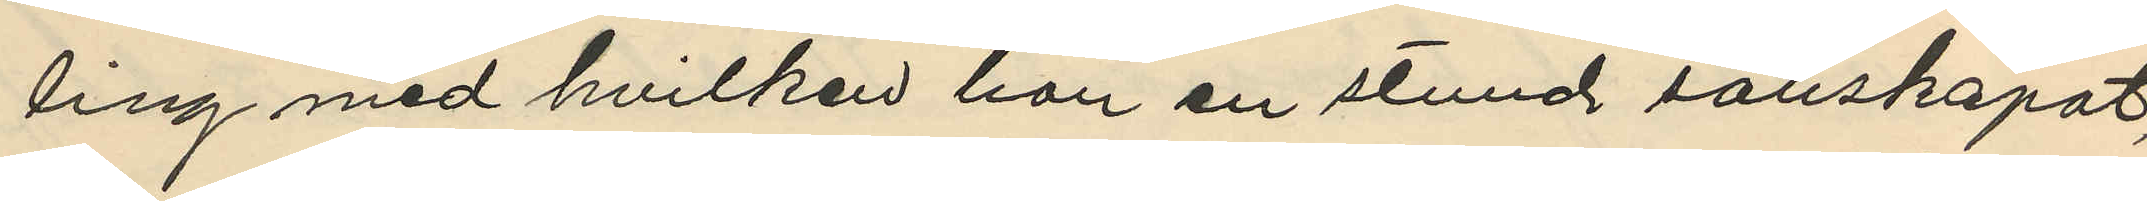ling med hvilken han en stund sällskapat,
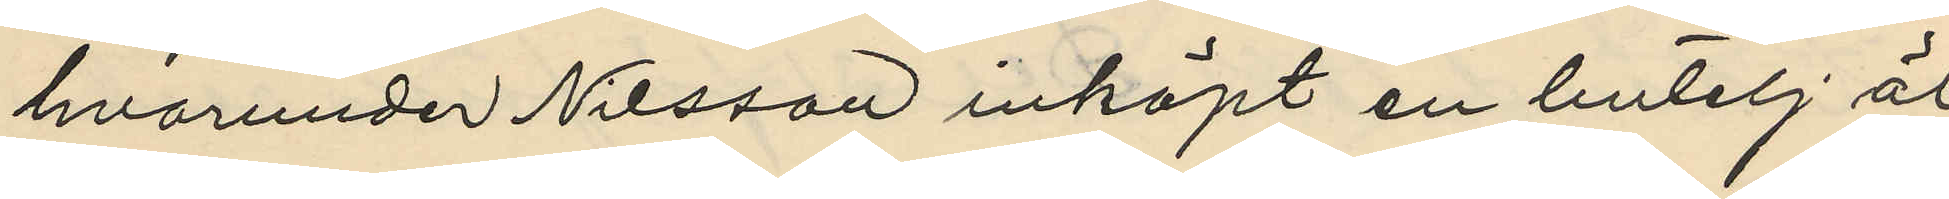hvarunder Nilsson inköpt en butelj öl
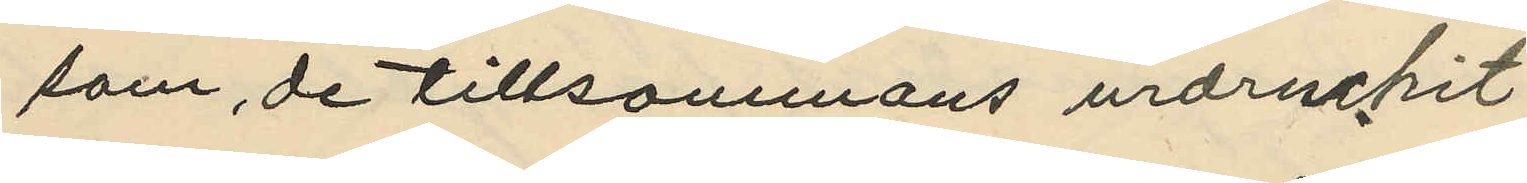som de tillsammans urdruckit
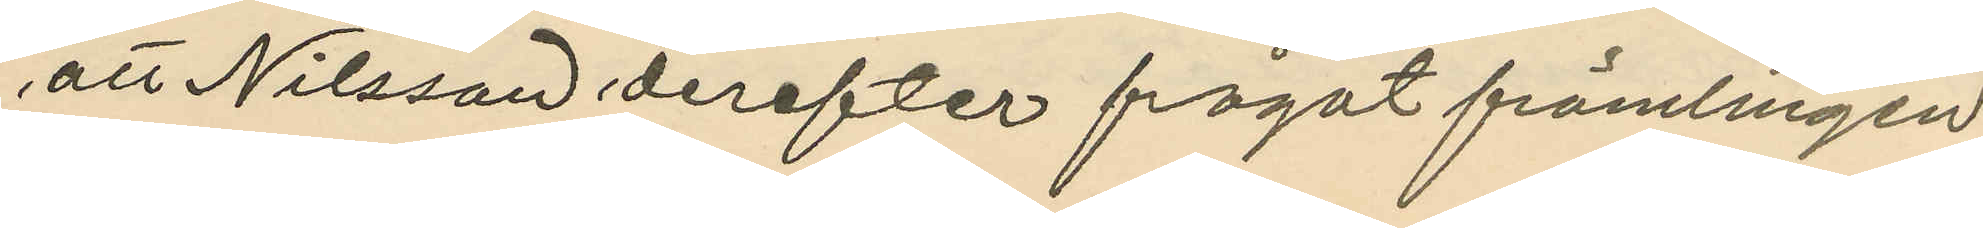att Nilsson derefter frågat främlingen
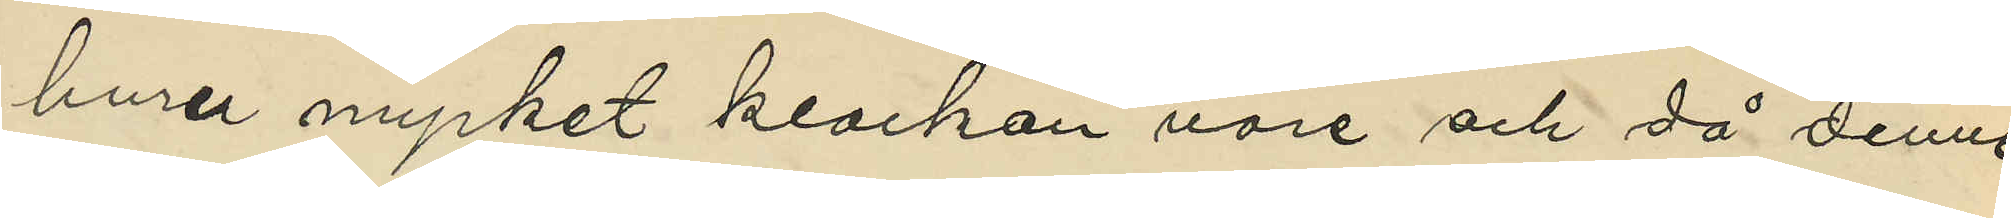huru mycket klockan vore och då denne
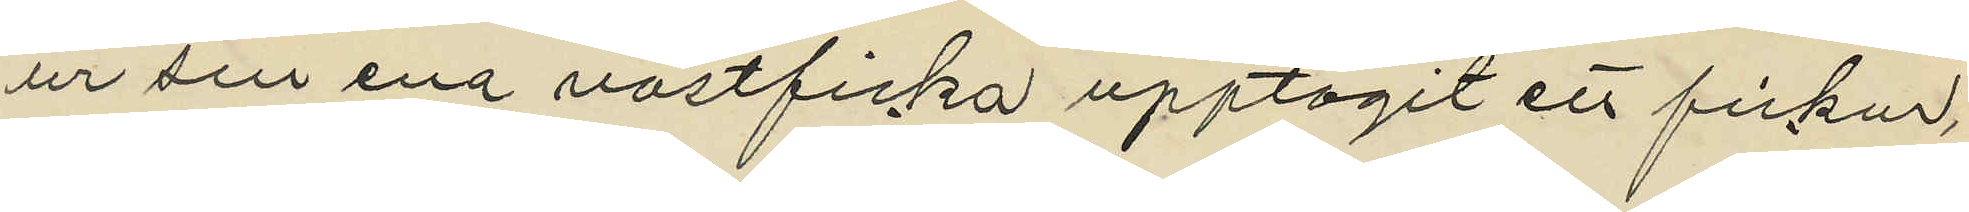ur sin ena västficka upptagit ett fickur,
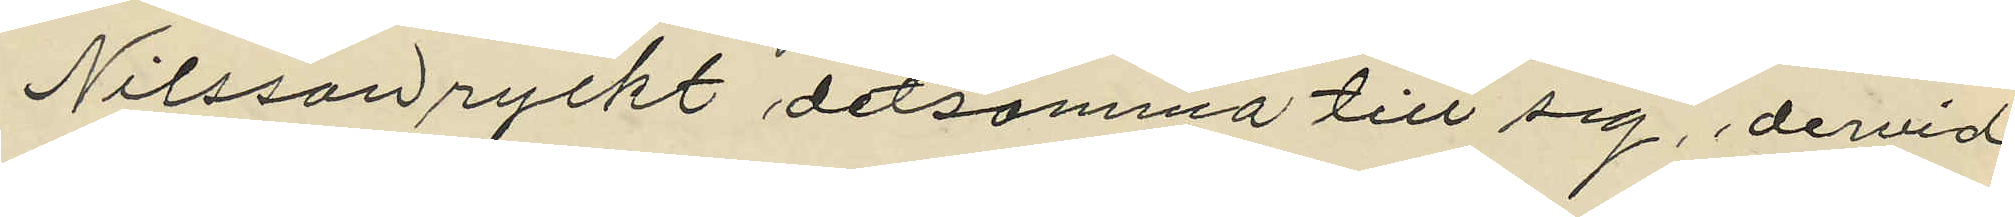Nilsson ryckt detsamma till sig, dervid
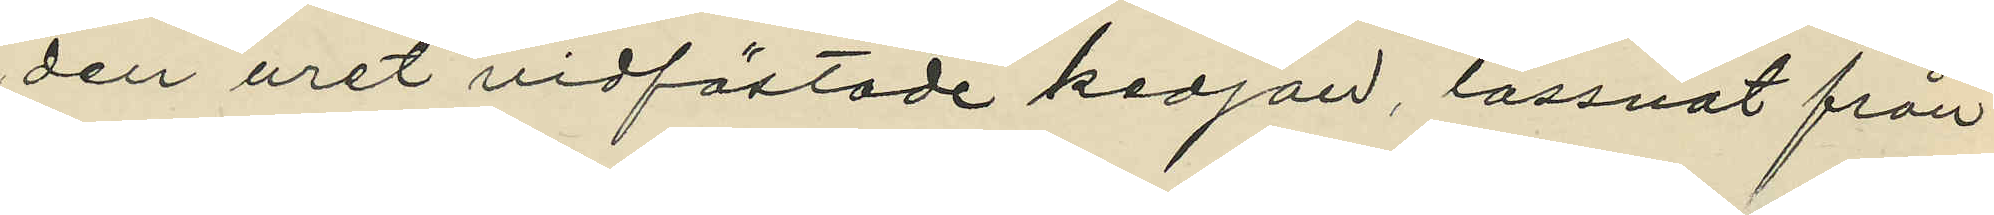den uret vidfästade kedjan, lossnat från
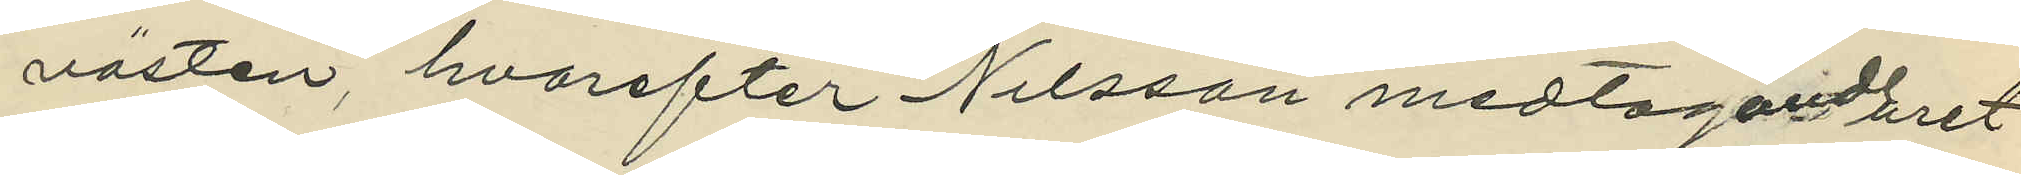västen, hvarefter Nilsson medtagande uret
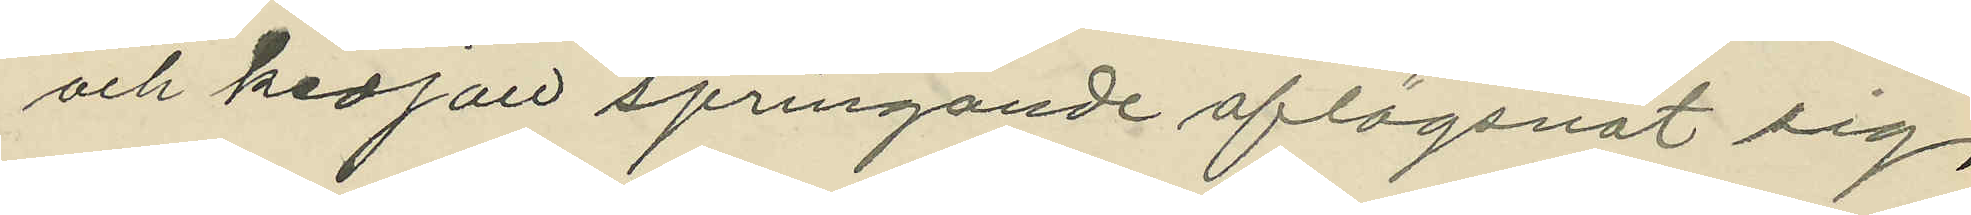och kedjan springande aflägsnat sig,
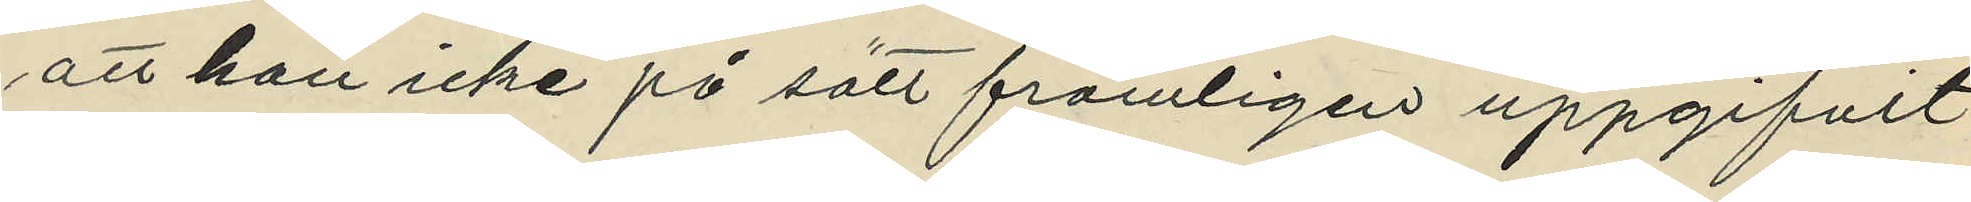att han icke på sätt främligen uppgifvit
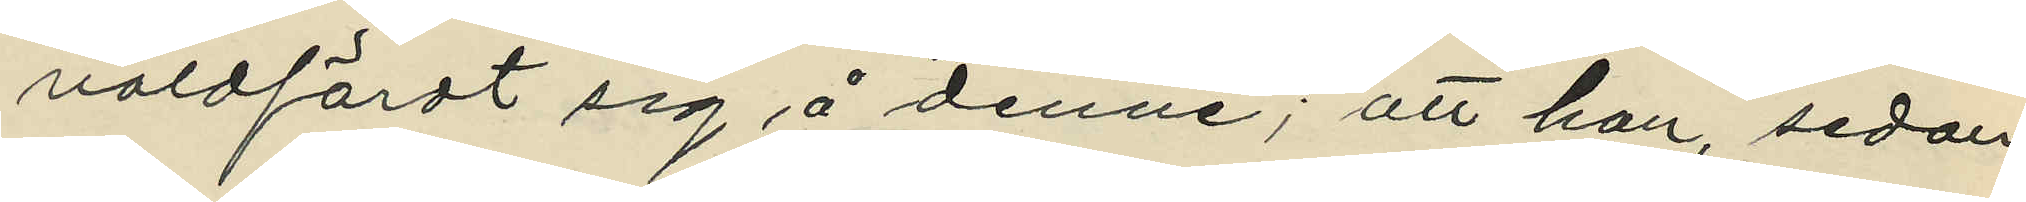våldfördt sig å denne; att han, sedan
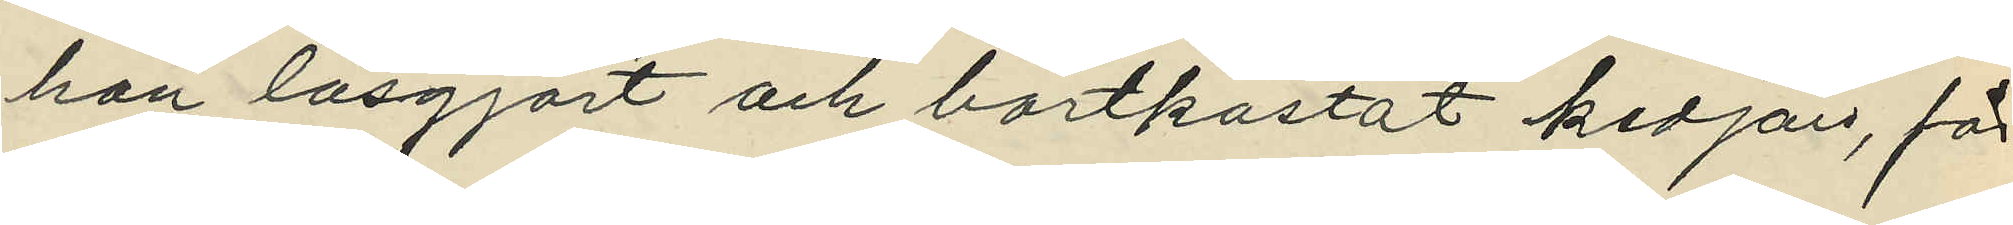han lösgjort och bortkastat kedjan, för
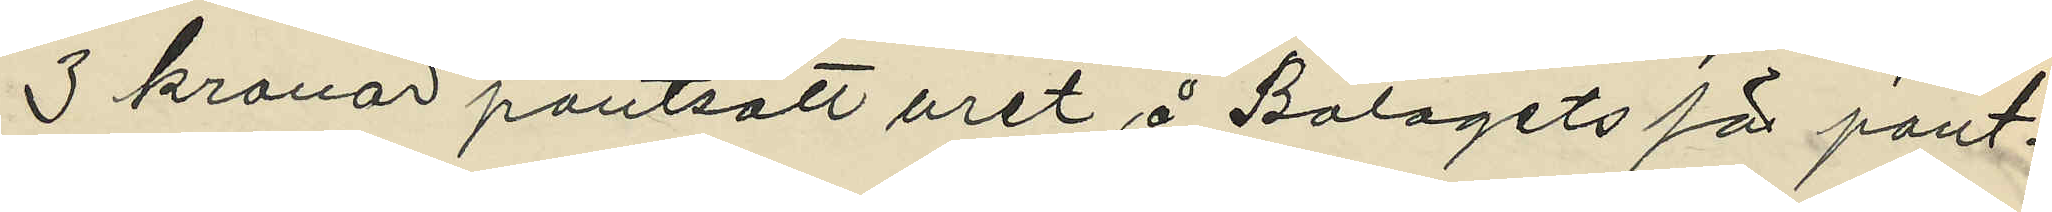3 kronor pantsatt uret å Bolagets för pant¬
